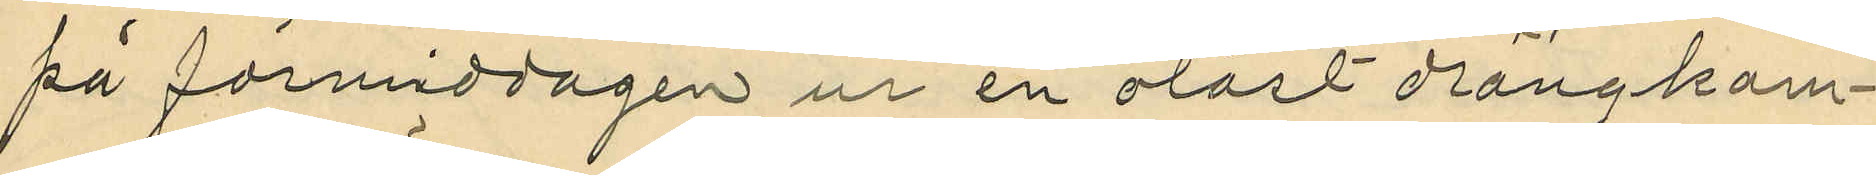på förmiddagen ur en olåst drängkam¬
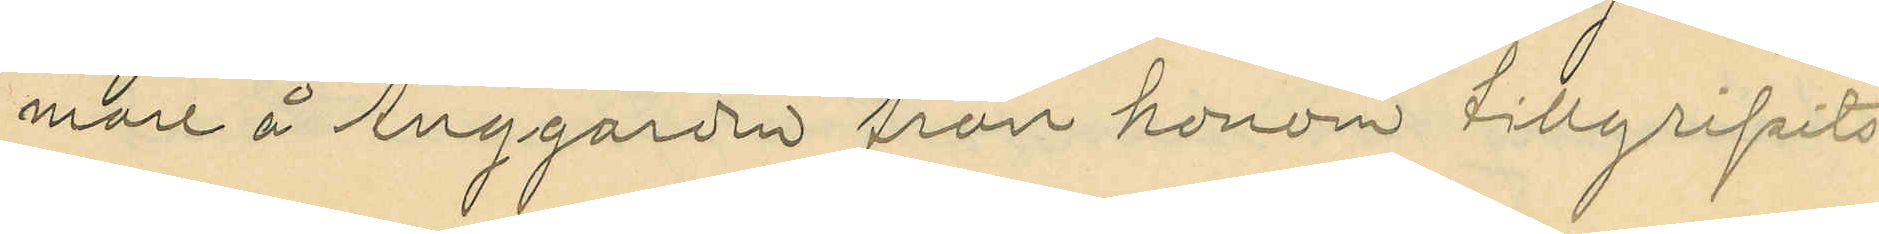mare å Änggården från honom tillgripits
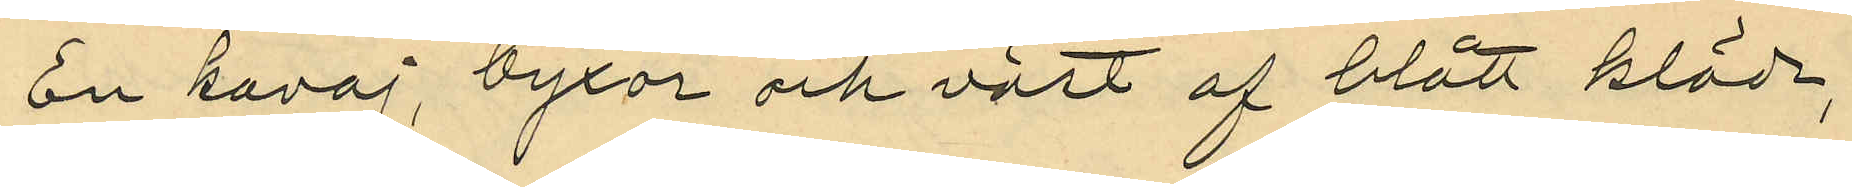En kavaj, byxor och väst af blått kläde,
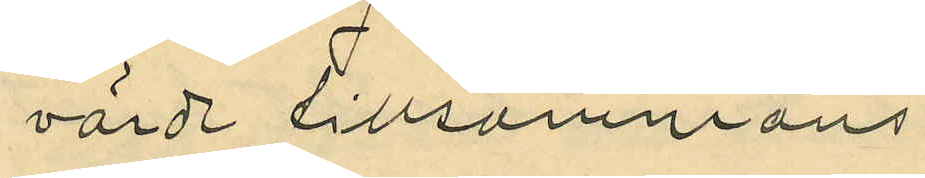värde tillsammans
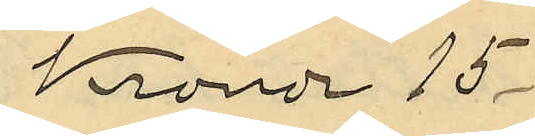Kronor 15
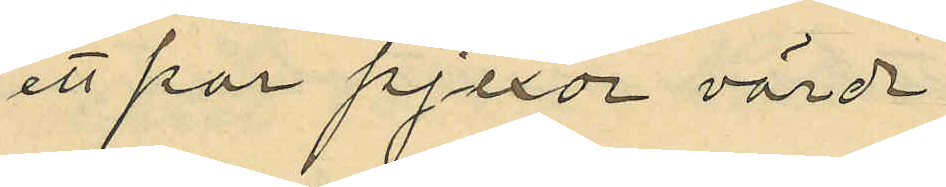ett par pjexor värde
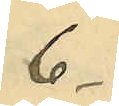6
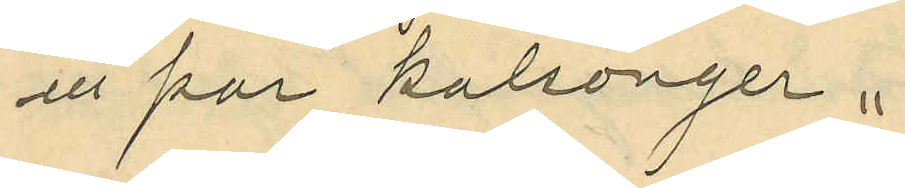ett par kalsonger "
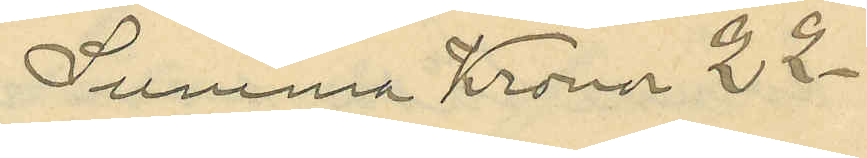Summa Kronor 22
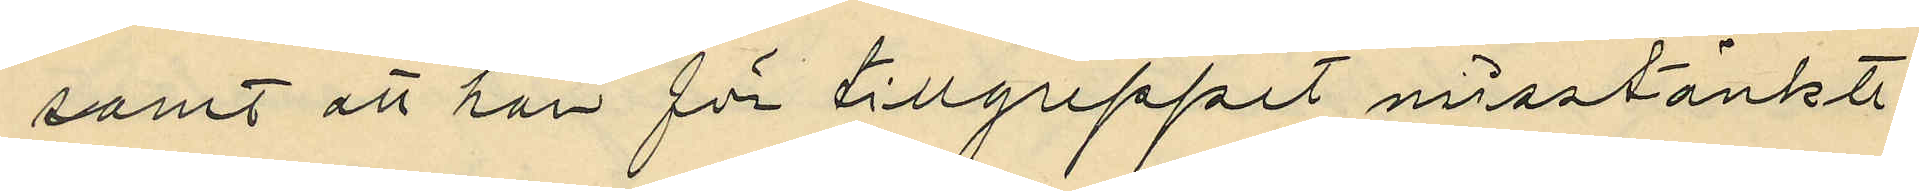samt att han för tillgreppet misstänkte
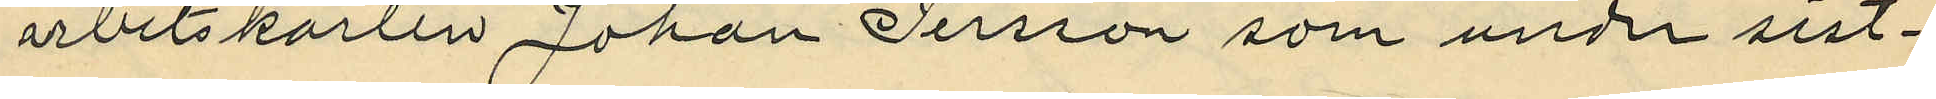arbetskarlen Johan Persson som under sist¬
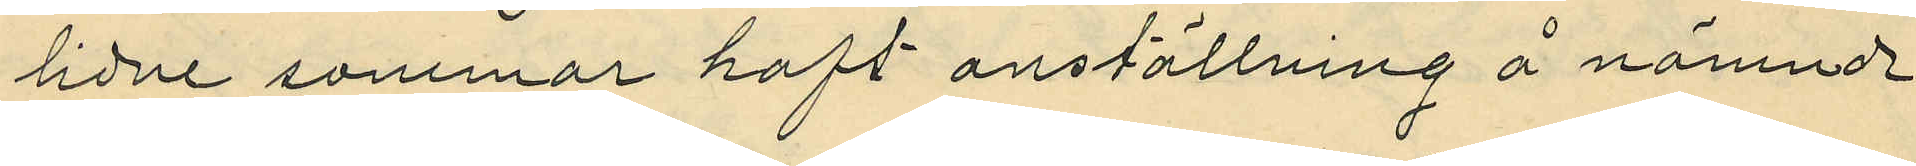lidne sommar haft anställning å nämnde
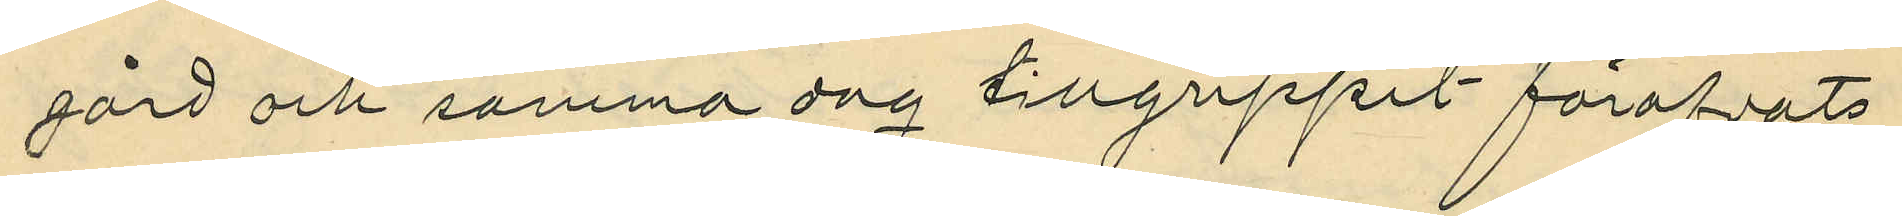gård och samma dag tillgreppet föröfvats
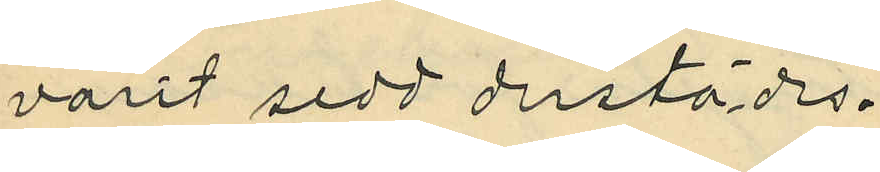varit sedd derstädes.
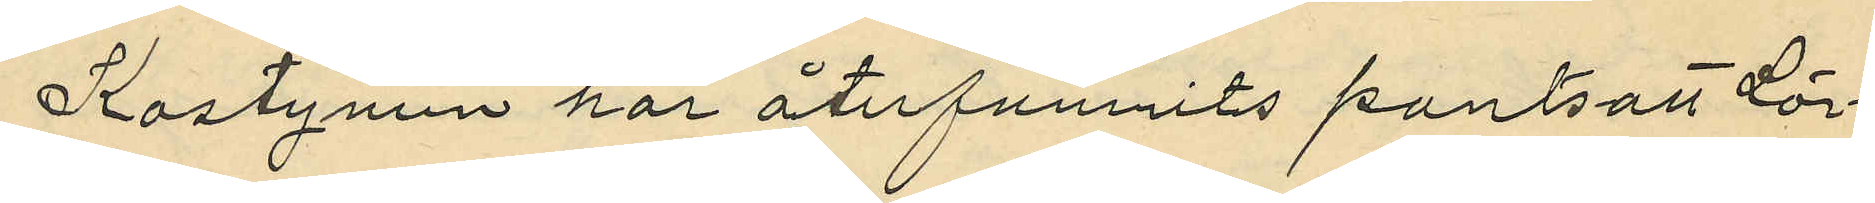Kostymen har återfunnits pantsatt Lör¬
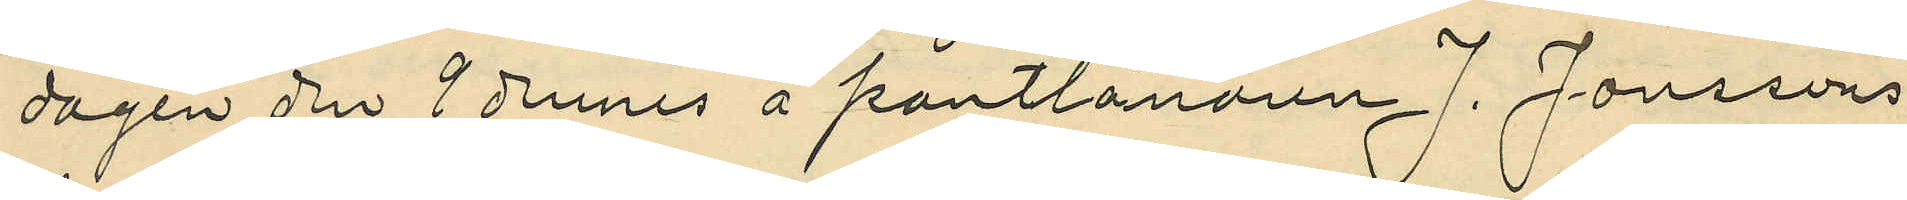dagen den 7 dennes å pantlånaren J. Jonssons
